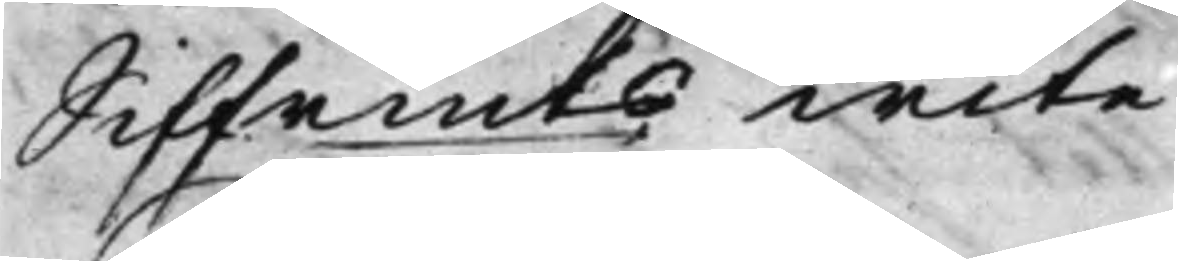Silfrmts wite
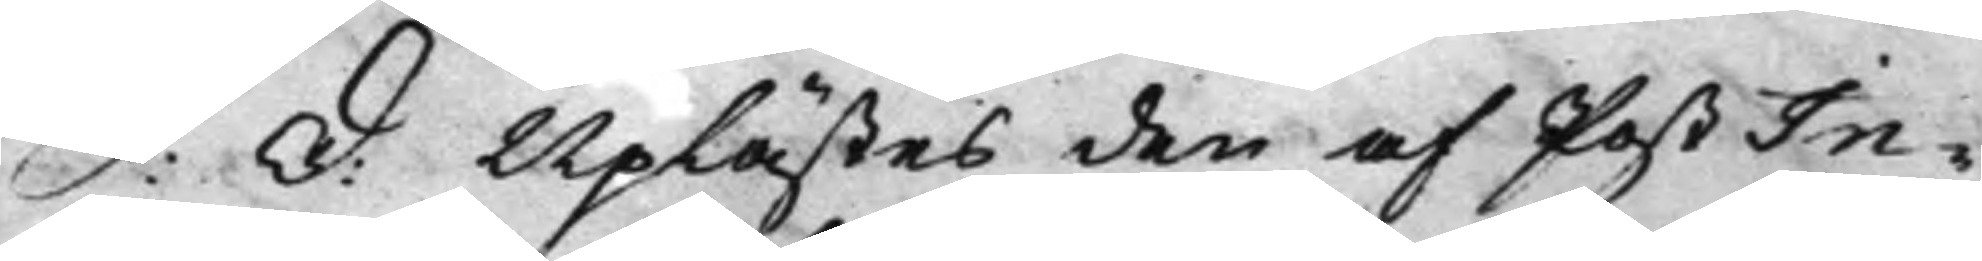S: D: Uplästes den af PostIn¬
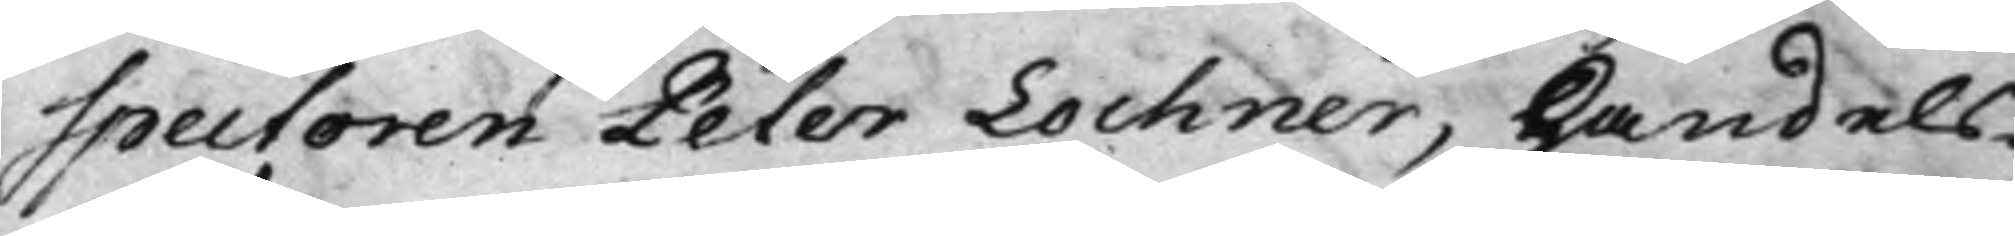spectoren Peter Lochner, Handels¬
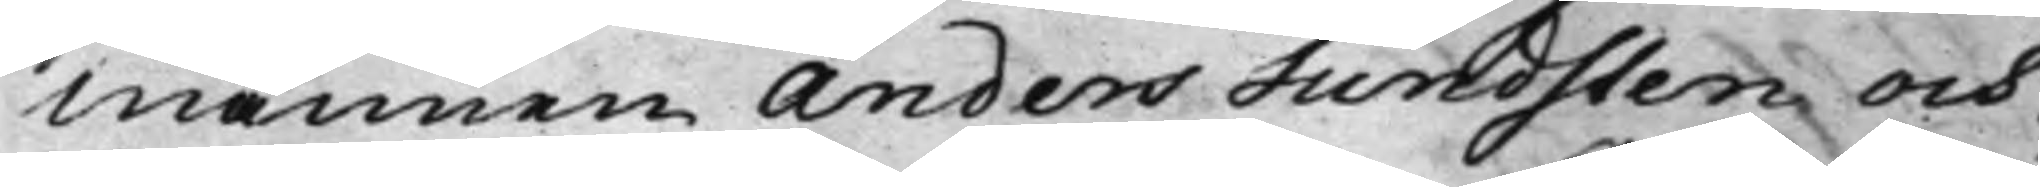männen Anders Sundsten och
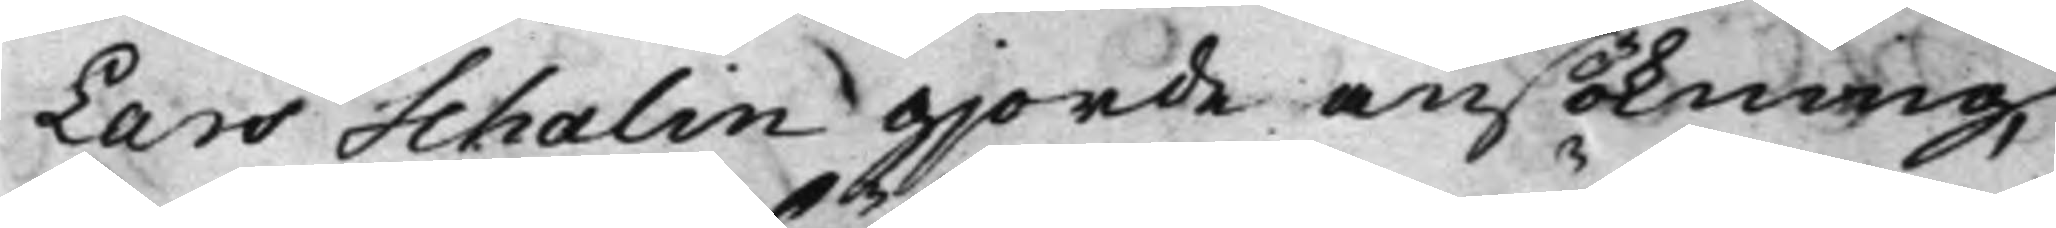Lars Schalin giorde ansökning,
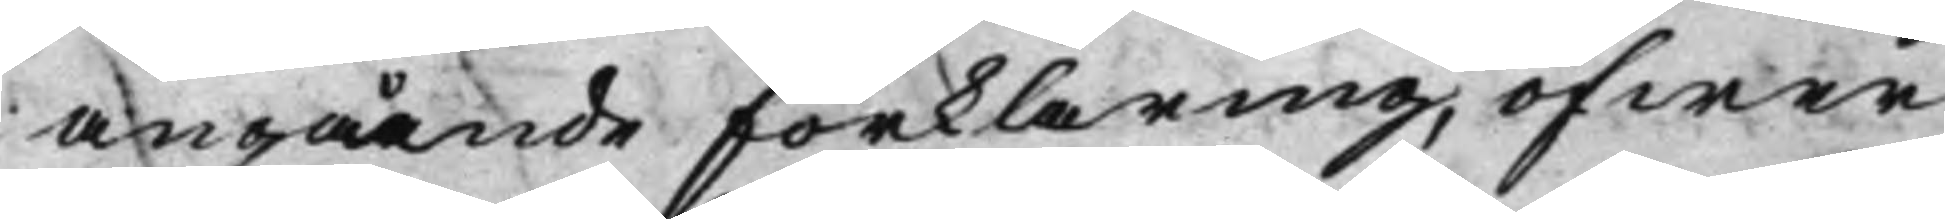angående förklaring, öfwer
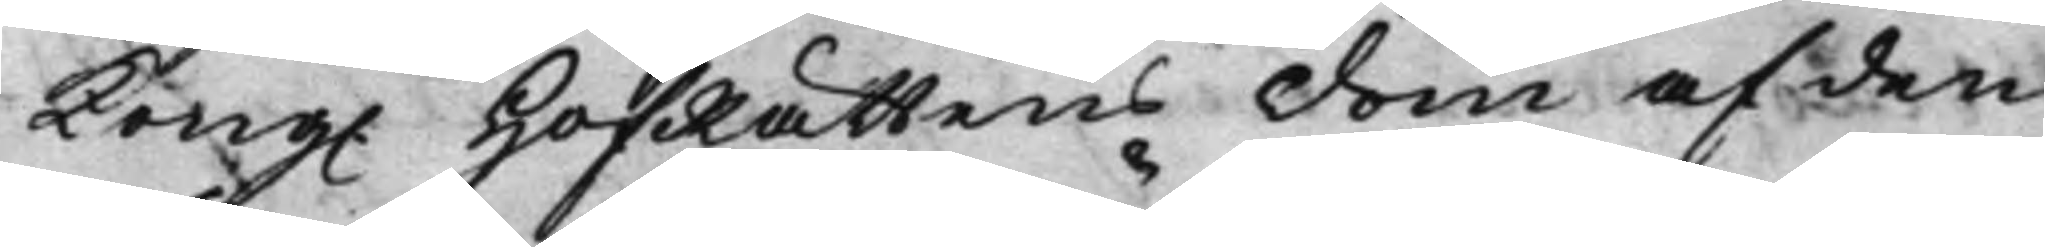Kong. HofRättens dom af den
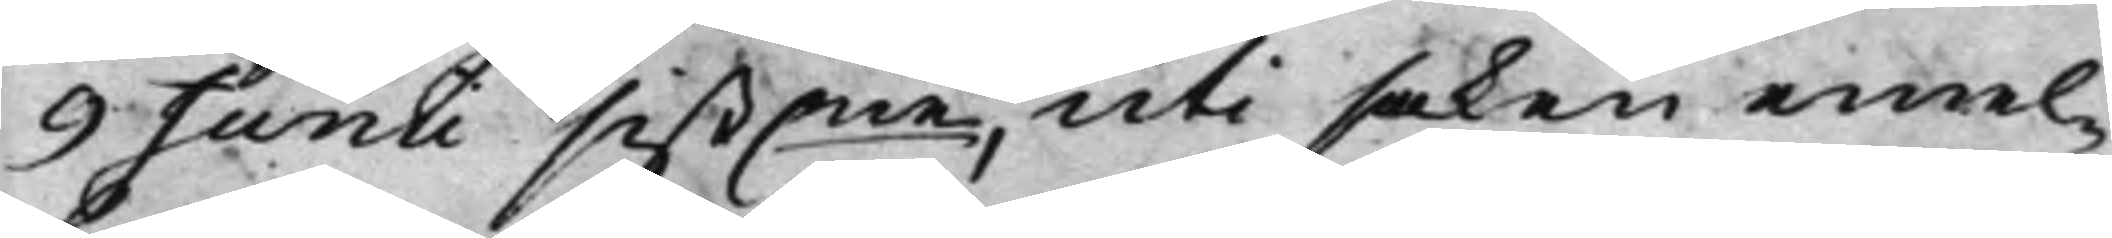9 Junii sist.ne uti saken emel¬
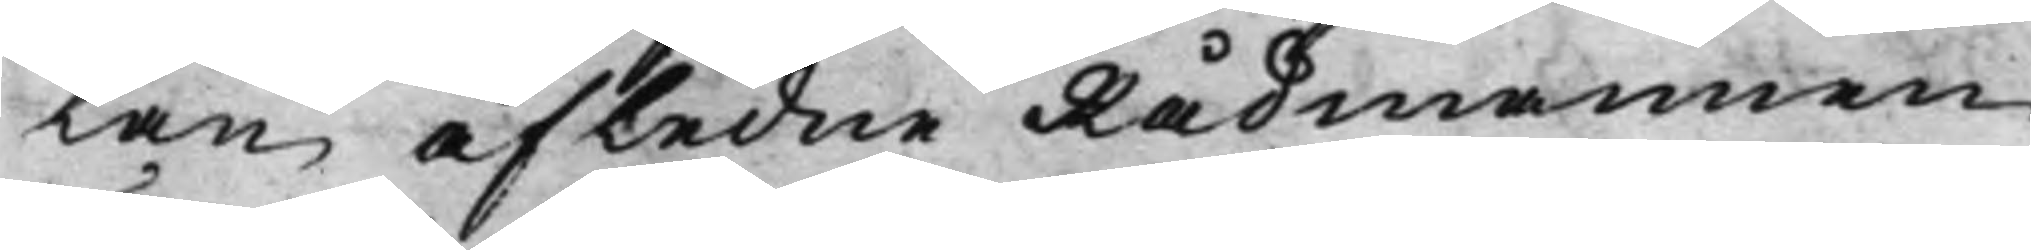lan afledne Rådmannen
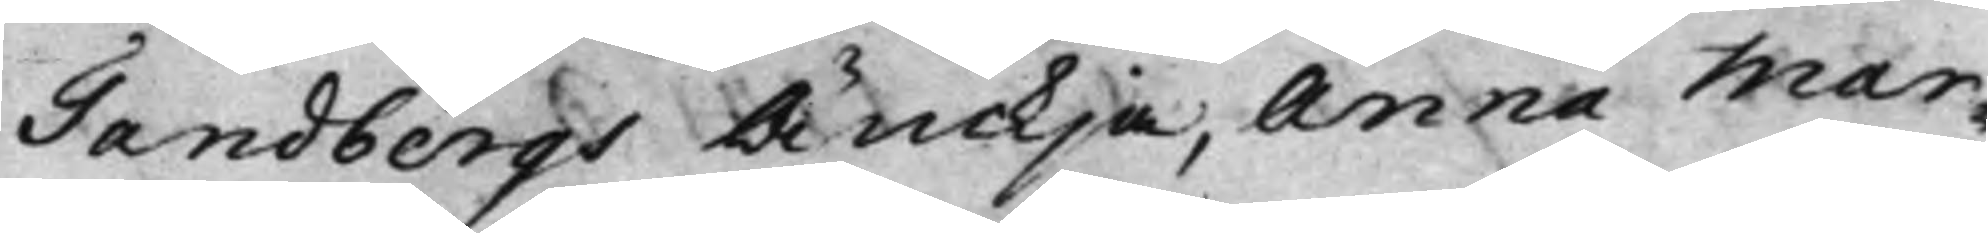Tandbergs Änckja, Anna Mar¬
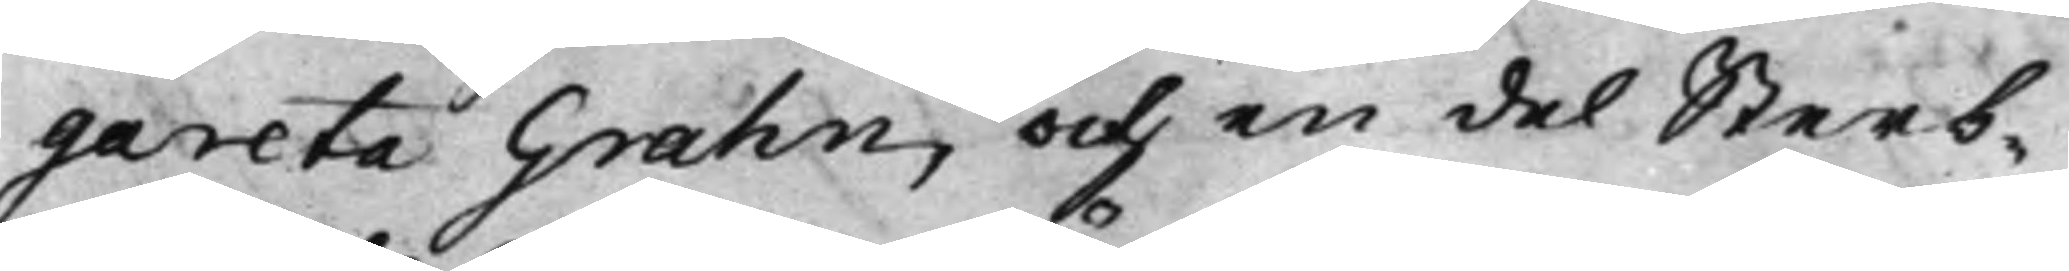gareta Grahn, och en del Sterb¬
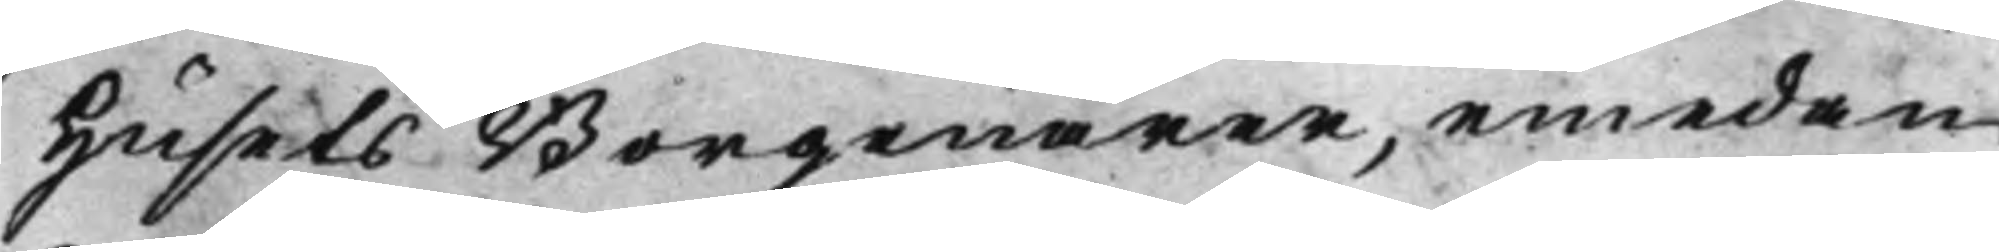Husets Borgenärer, emedan
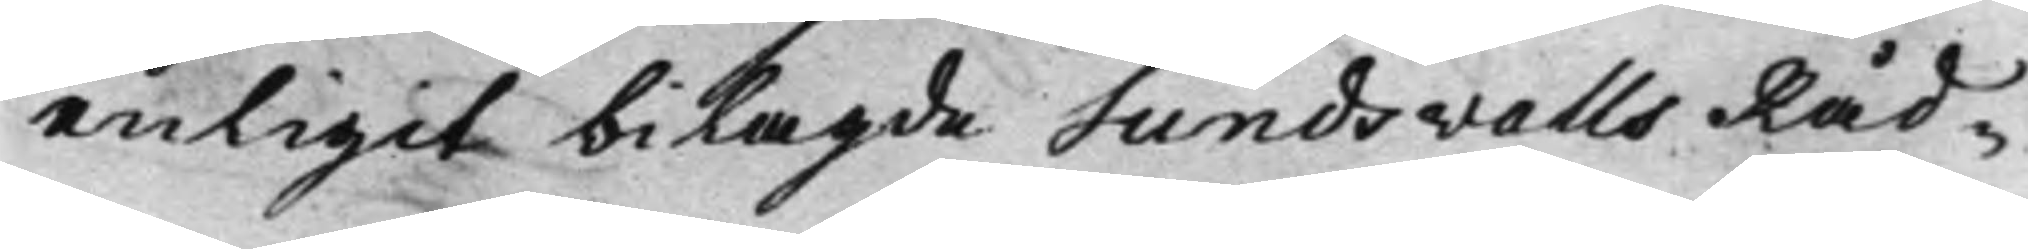enligit bilagde Sundsvalls Råd¬
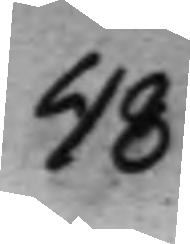48
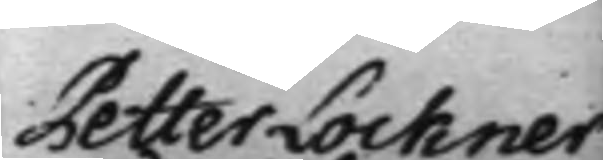Petter Lockner
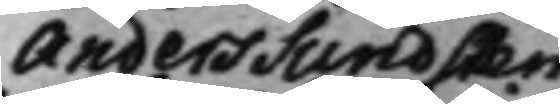Anders Sundsten
